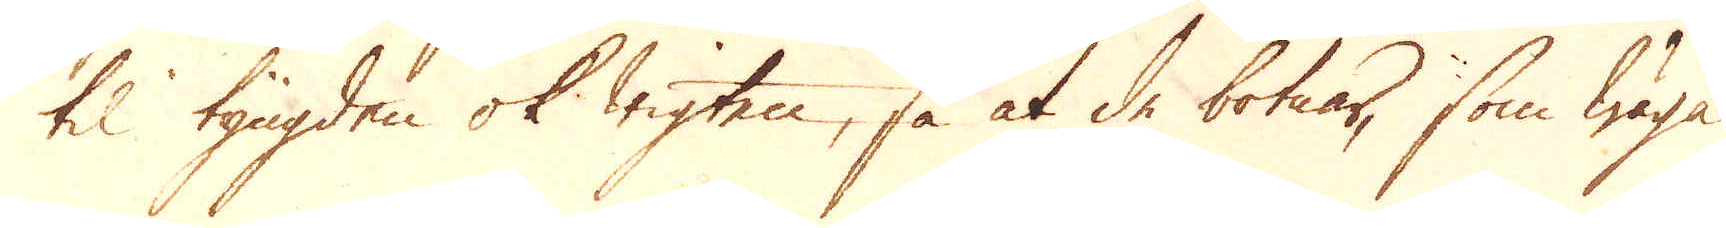til tyngden ok wigten, så at de botnar, som wäga
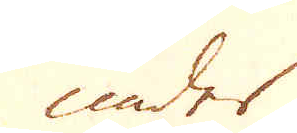under
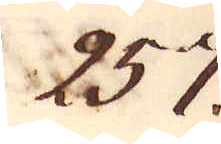257.
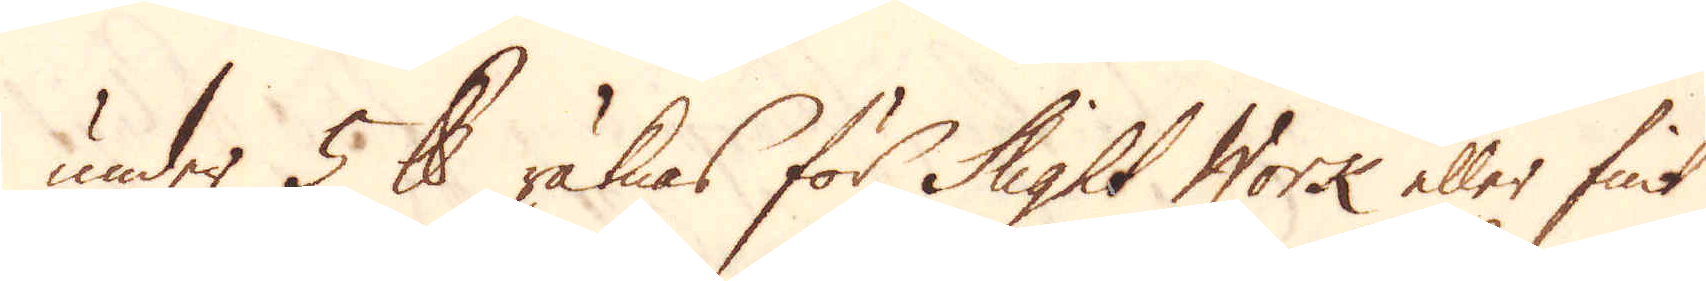under 5 skålpund räknas för Slight Work eller fint
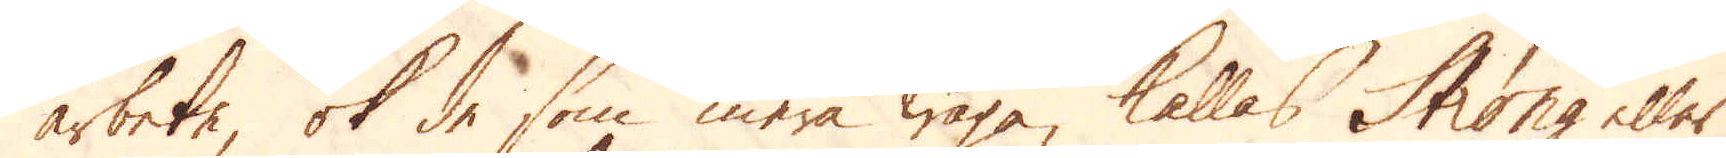arbete, ok de som mera wäga, kallas Strong eller
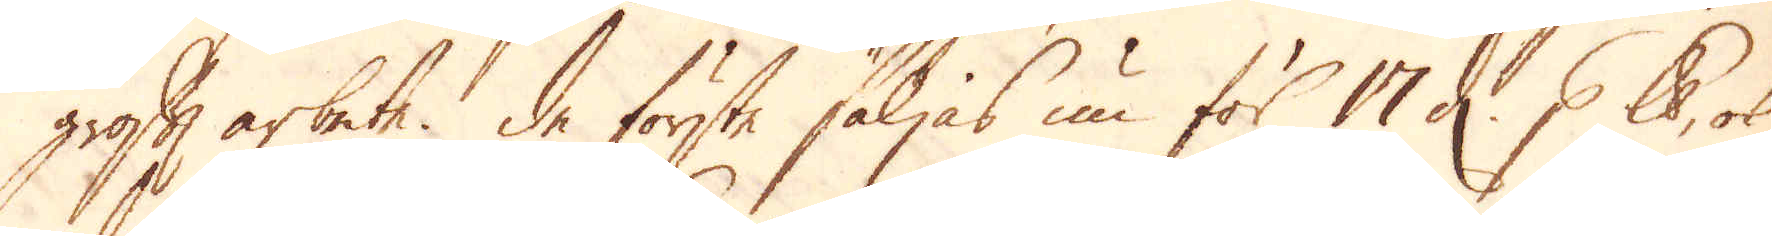groft arbete. De förste säljas nu för 17 d. p skålpund, ok
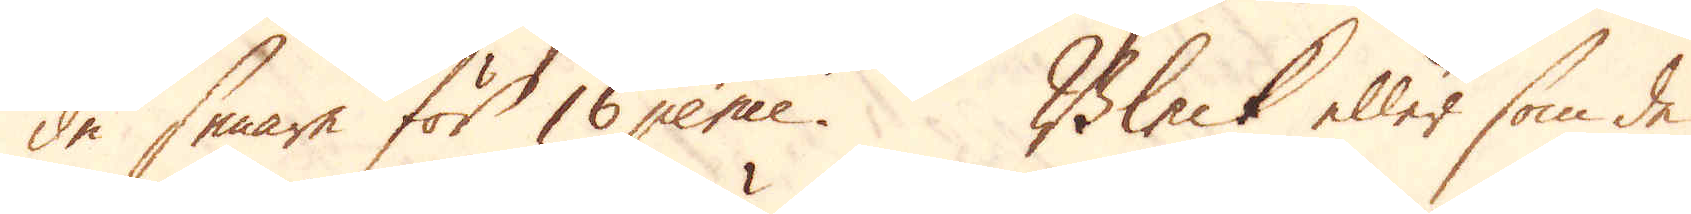de senare för 16 pence. Bleck eller som de
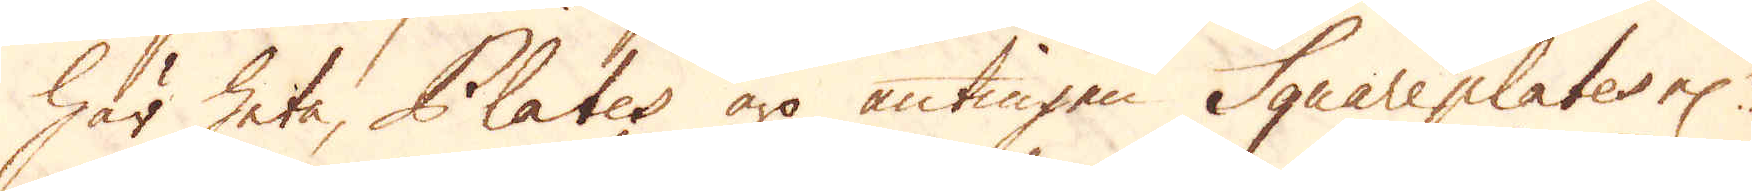här heta, Plates äro antingen Squareplates el:r
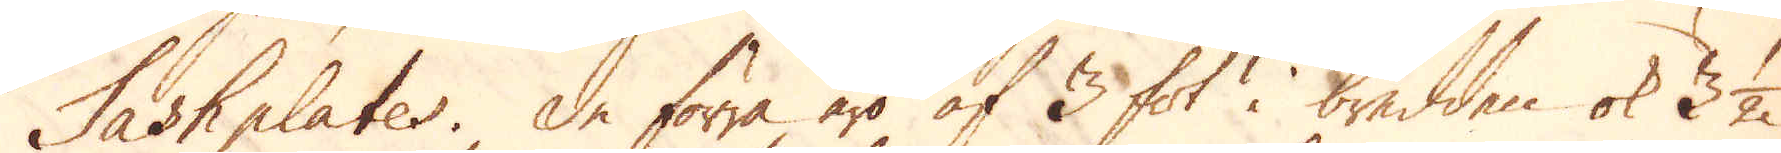Sashplates. De förra äro af 3 fot i bredden ok 3 1/2
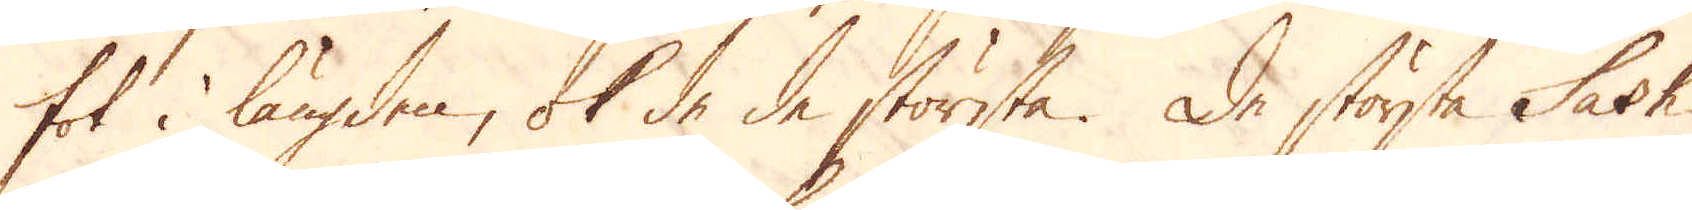fot i längden, ok de de största. De största Sash
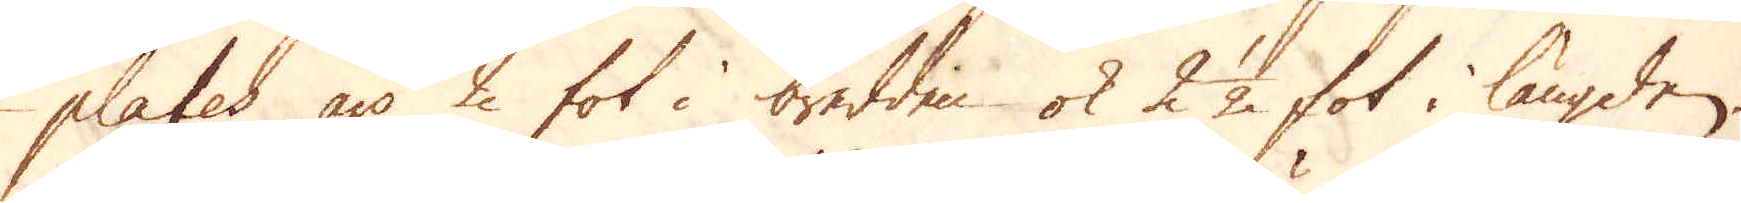plates äro 2 fot i bredden ok 2 1/2 fot i längden.
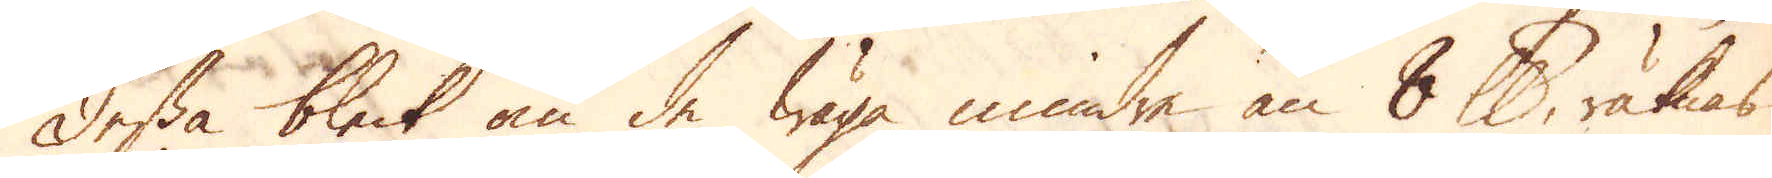Dessa bleck om de wäga mindre än 8 skålpund, räknas
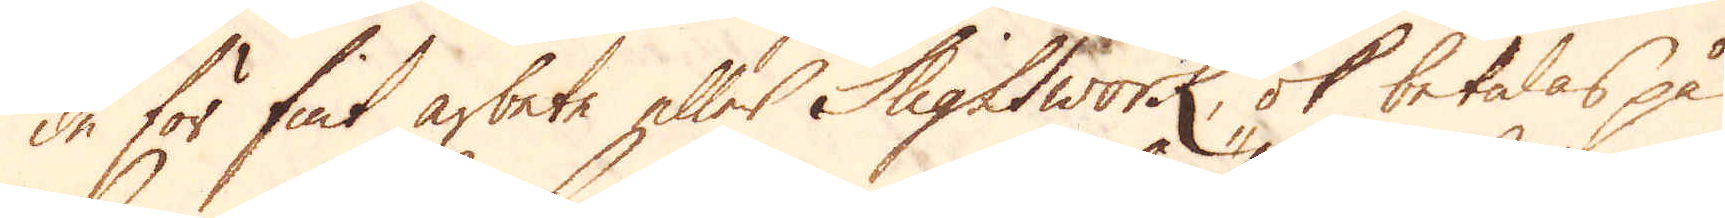de för fint arbete eller Slightwork, ok betalas på
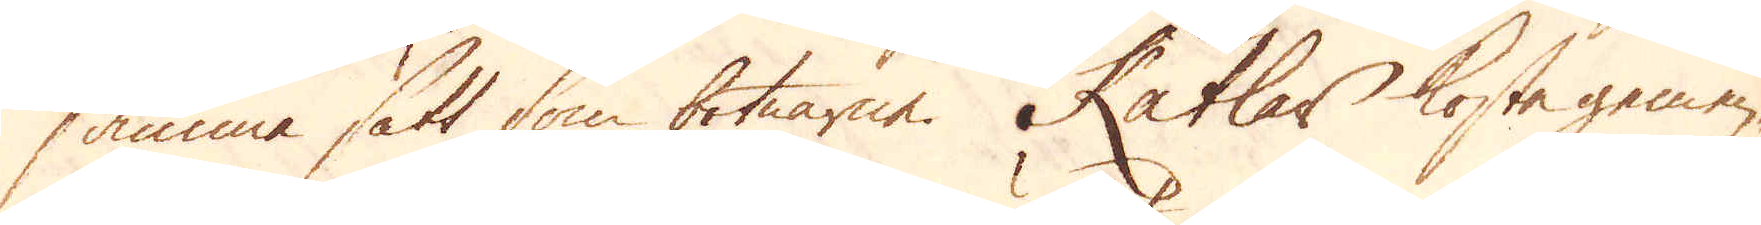samma sätt som botnarne. Kätlar kosta gemen-
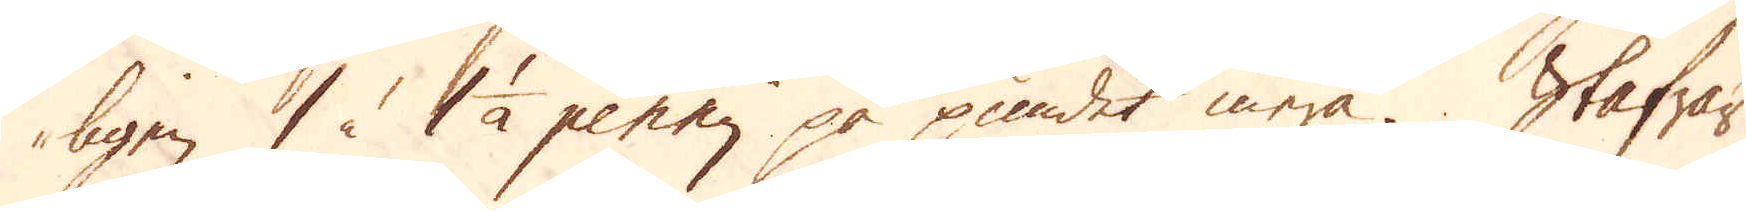ligen 1 à 1 1/2 penny på pundet mera. Stafwar
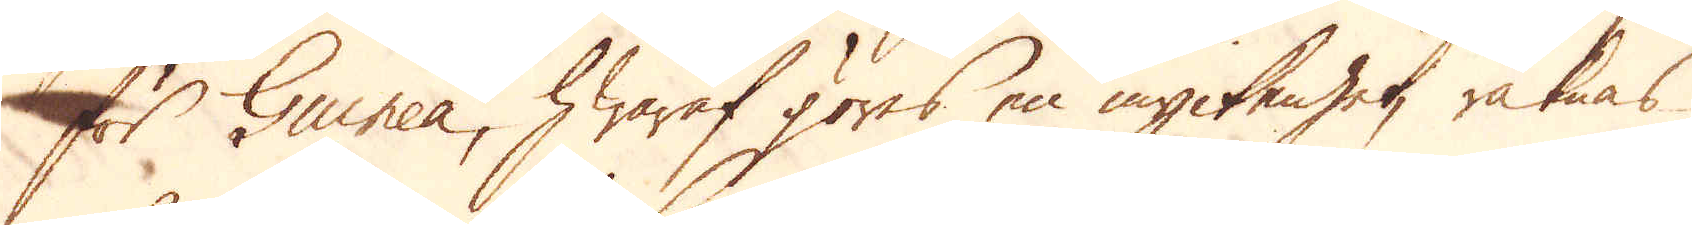för Guinea, hwaraf göres en myckenhet, räknas
